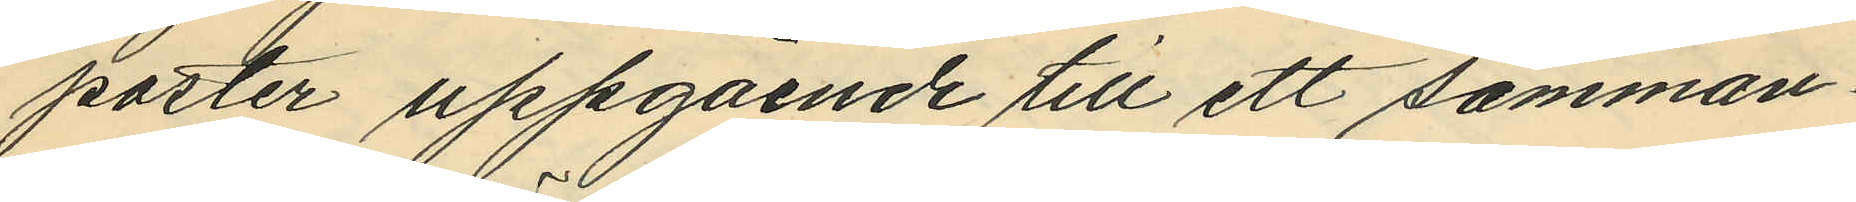poster uppgående till ett samman¬
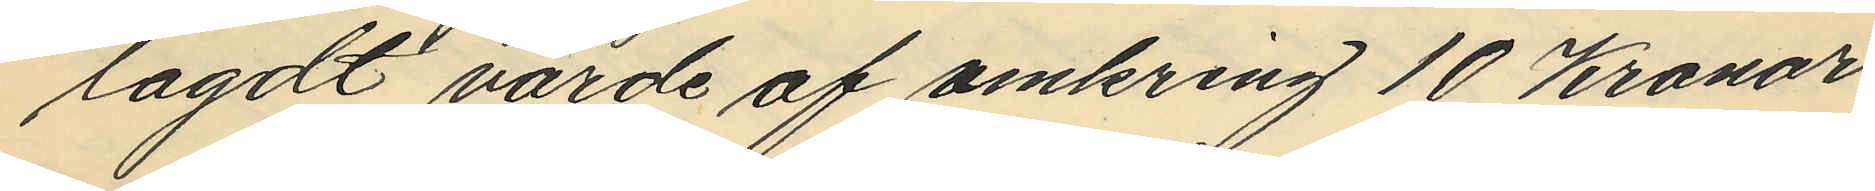lagdt värde af omkring 10 Kronor.
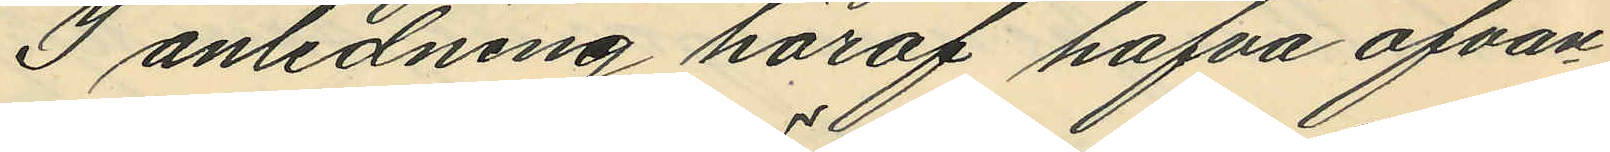I anledning häraf hafva ofvan¬
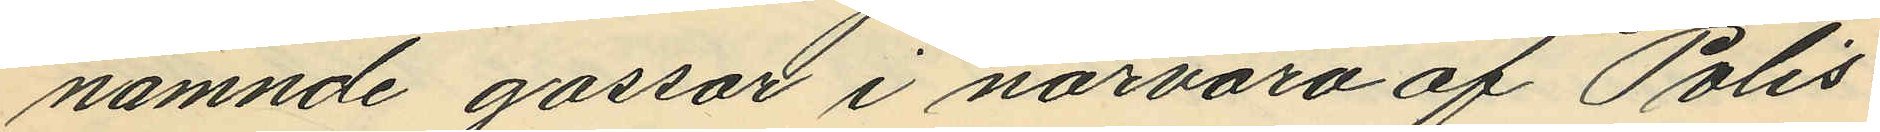nämnde gossar i närvaro af Polis¬
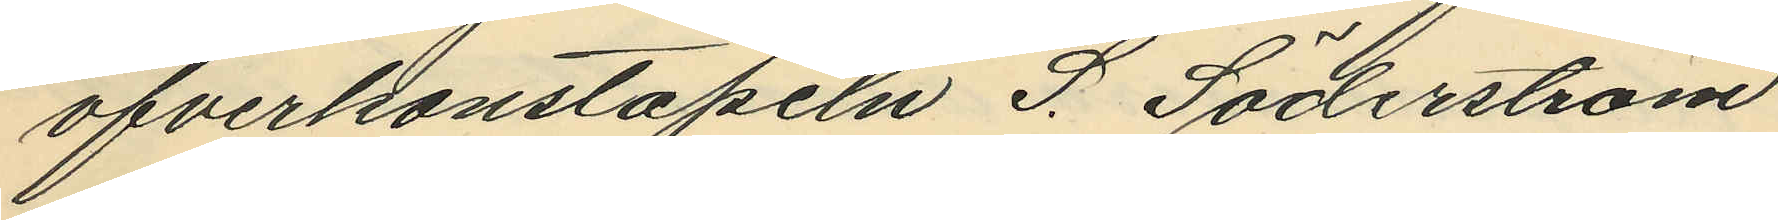öfverkonstapeln S. Söderström
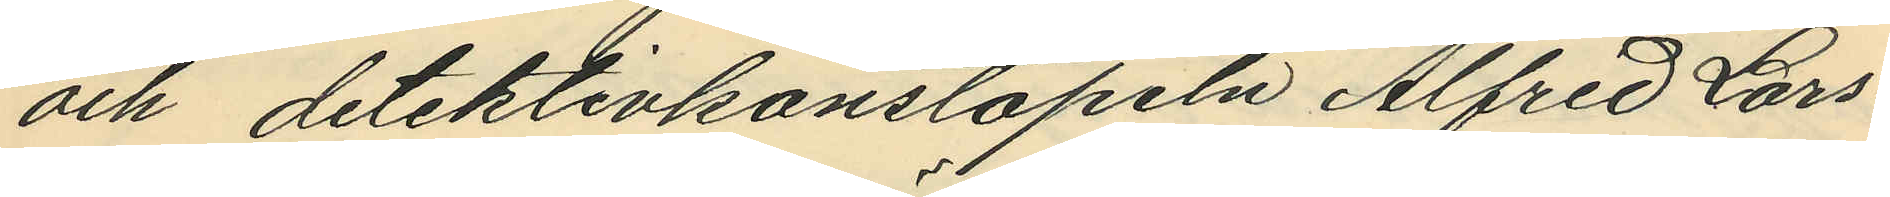och detektivkonstapeln Alfred Lars¬
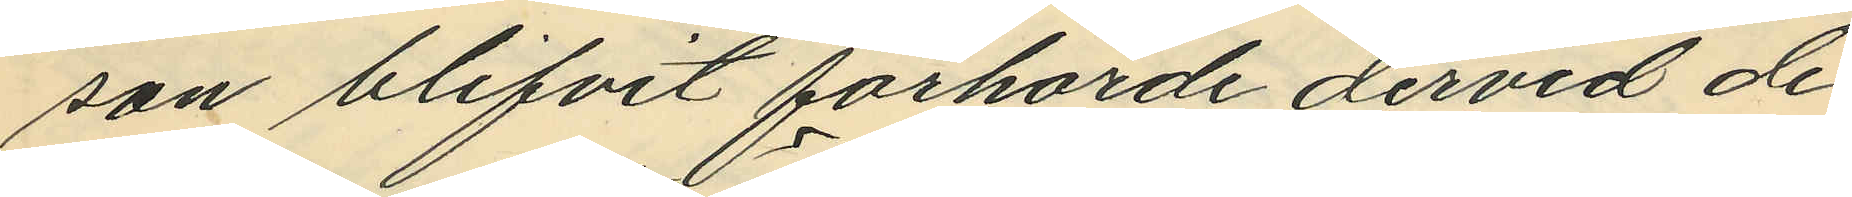son blifvit förhörde dervid de
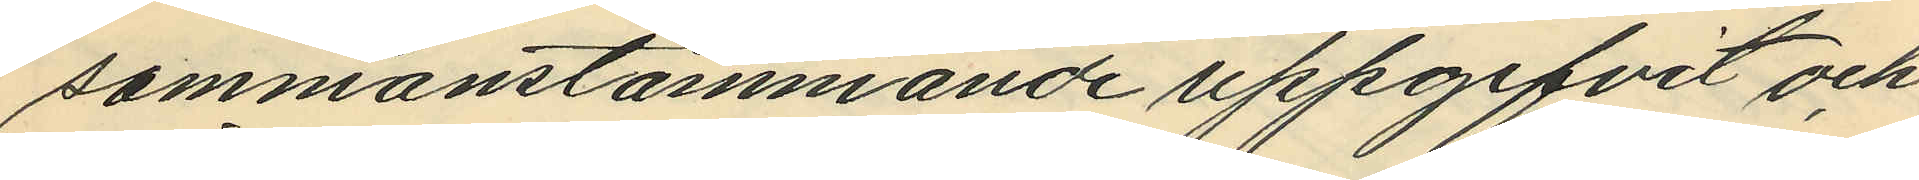sammanstämmande uppgifvit och
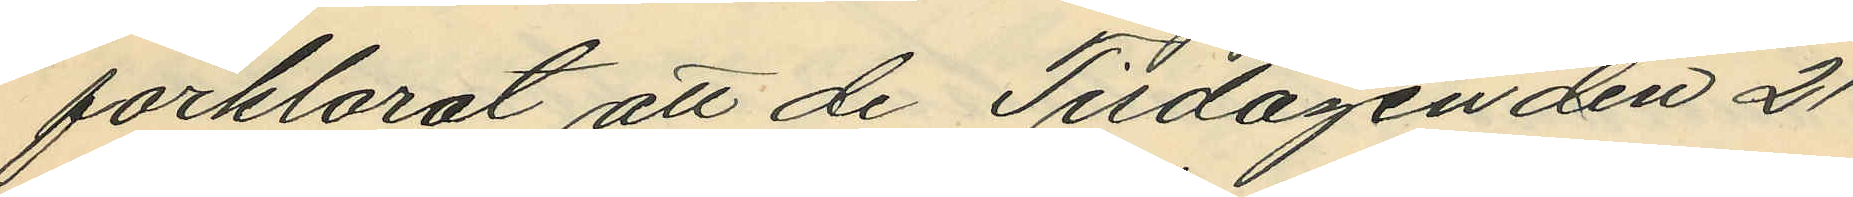förklarat att de Tisdagen den 21
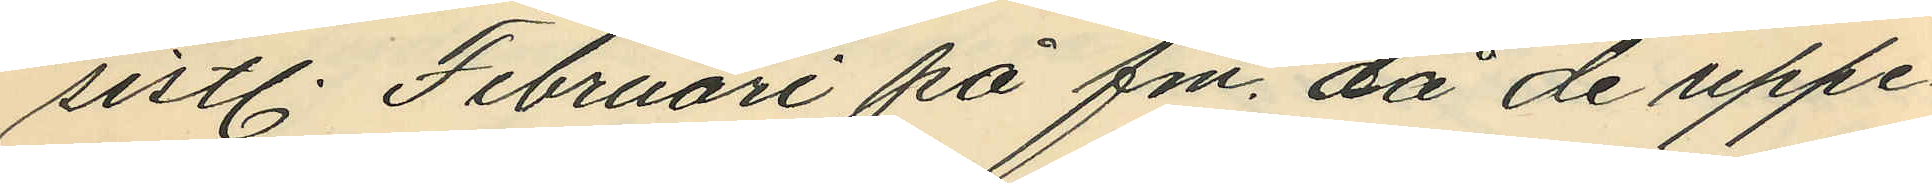sistl. Februari på fm. då de uppe¬
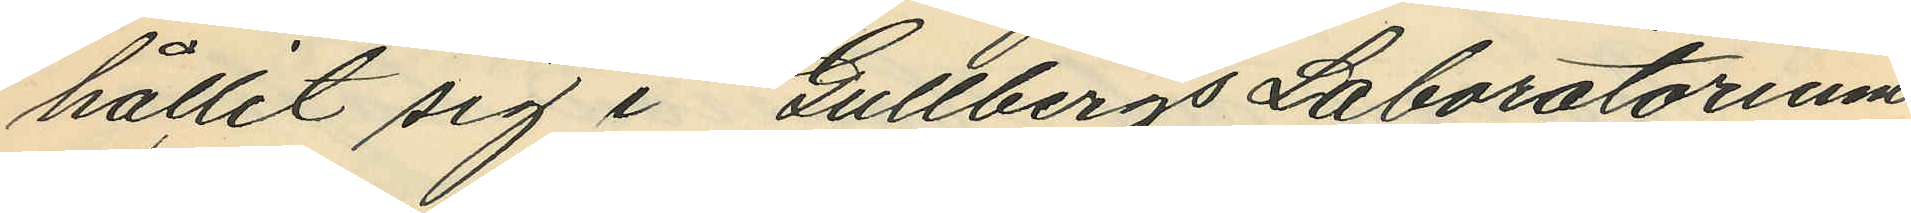hållit sig i Gullbergs Laboratorium
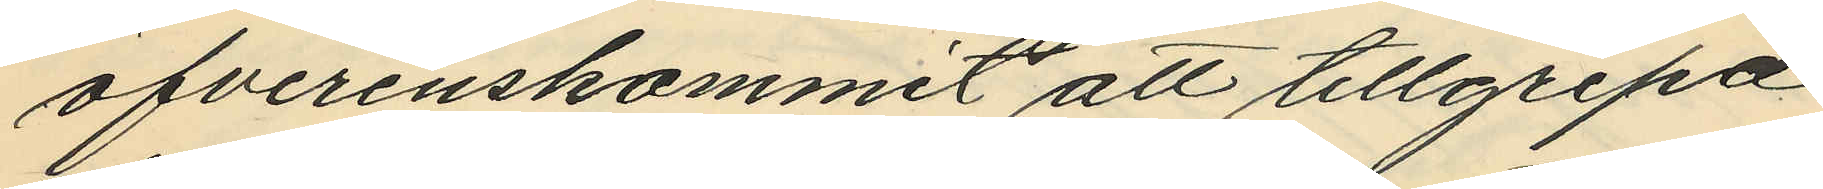öfverenskommit att tillgripa
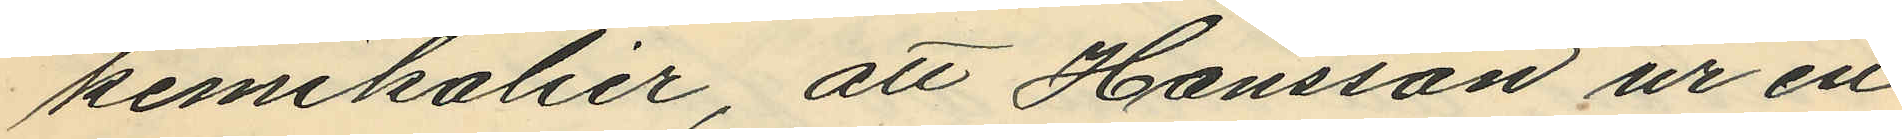kemikalier, att Hansson ur en
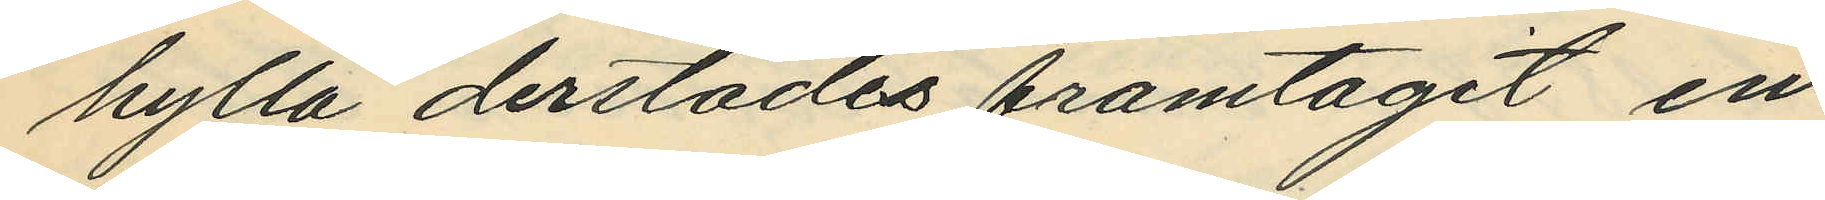hylla derstädes framtagit in¬
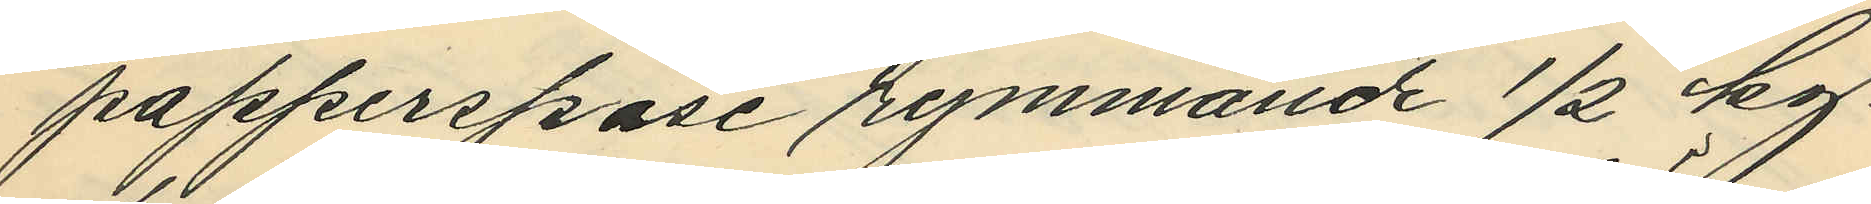papperspåse rymmande 1/2 kg
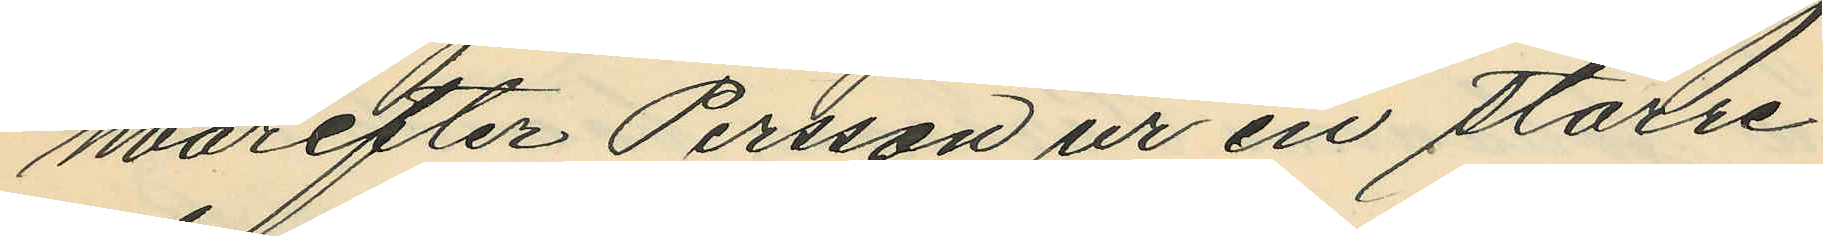hvarefter Persson ur en större
